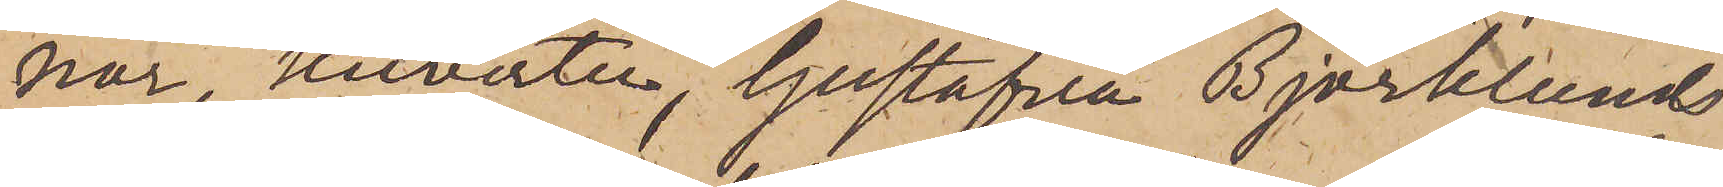nor, kuverter, Gustafva Björklunds
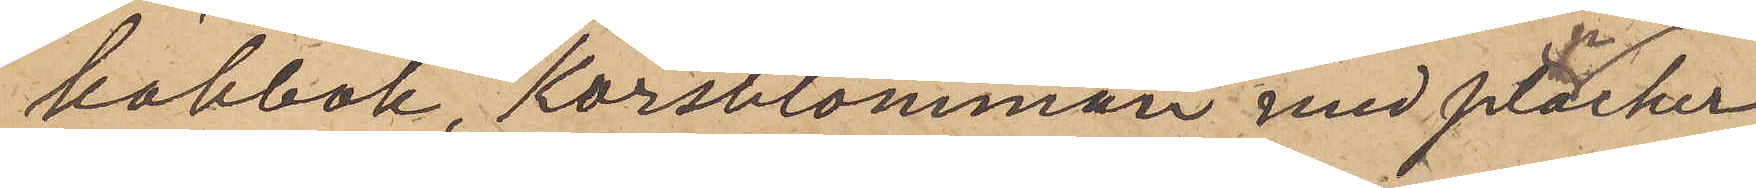kokbok, "Korsblomman" med plancher
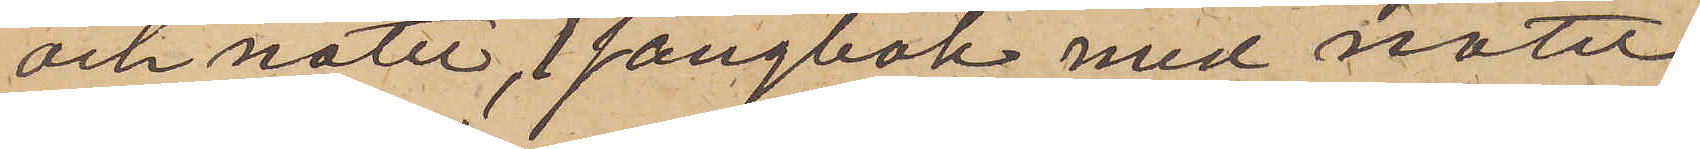och noter, 1 sångbok med noter,
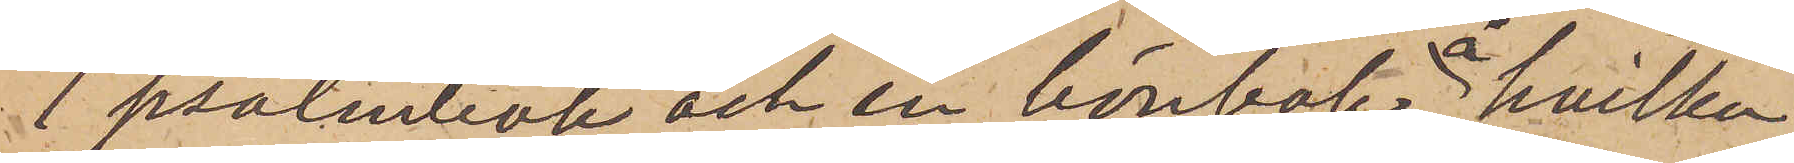1 psalmbok och en bönbok, å hvilka
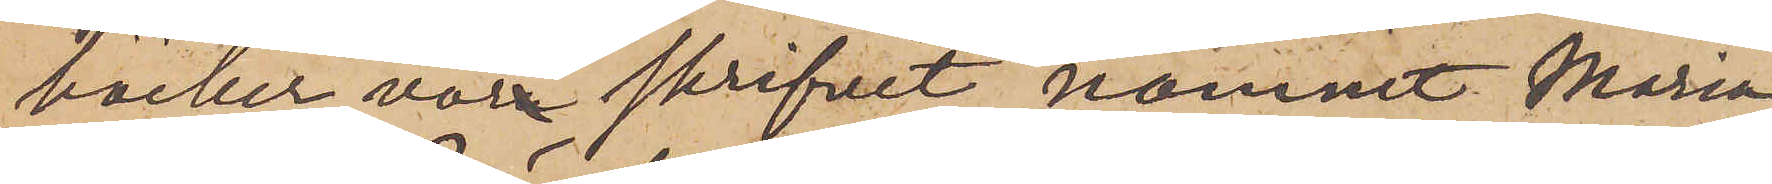böcker vore skrifvit namnet Maria
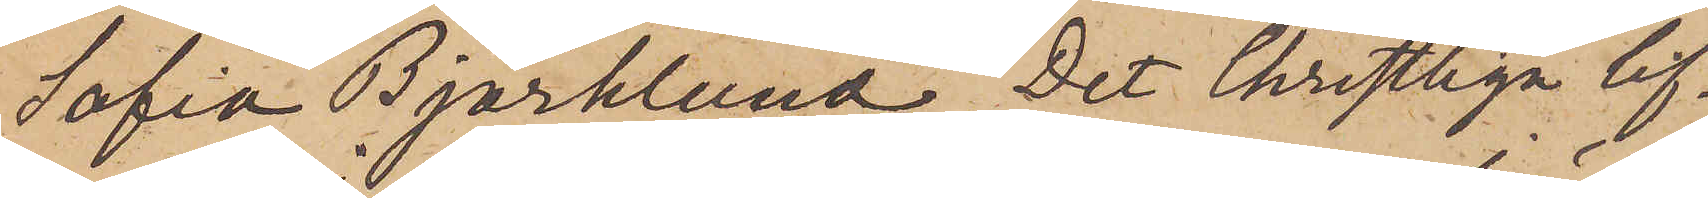Sofia Björklund,  "Det Christliga lif¬
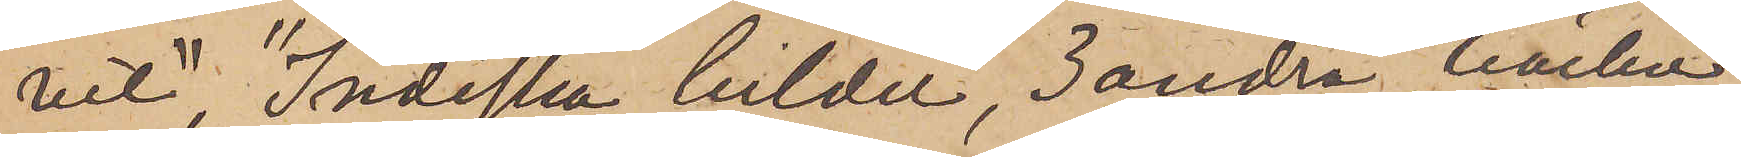vet", "Indiska bilder", 3 andra böcker
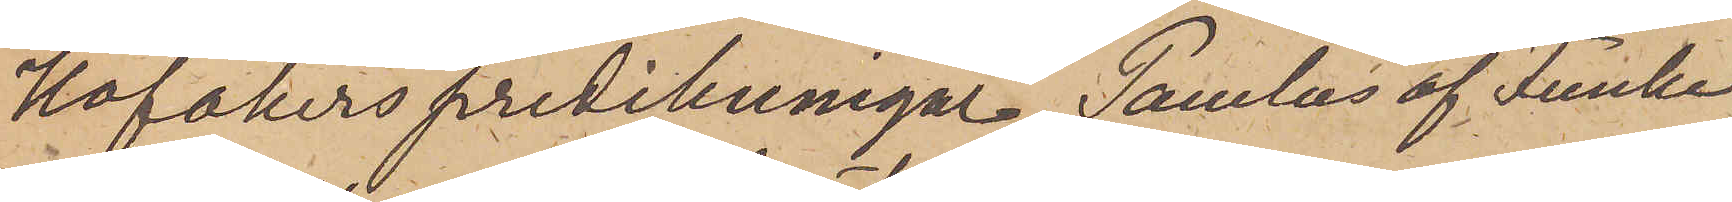Hofakers predikningar, "Paulus" af Funke
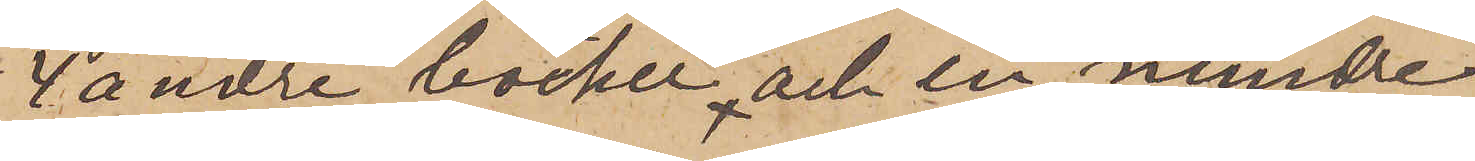4 andre böcker och en mindre
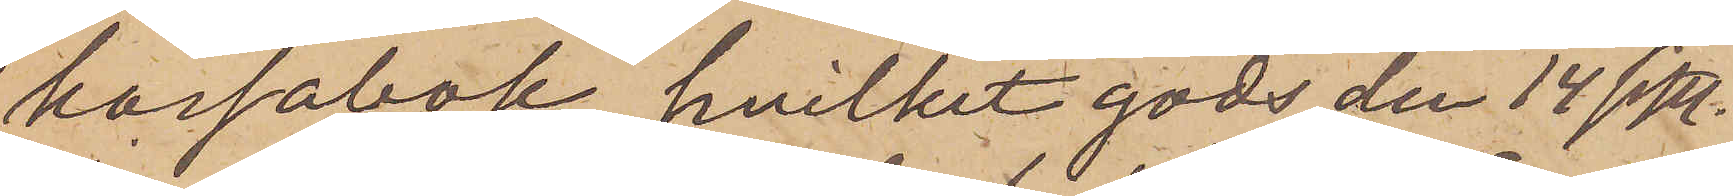kassabok, hvilket gods den 14 sistl.
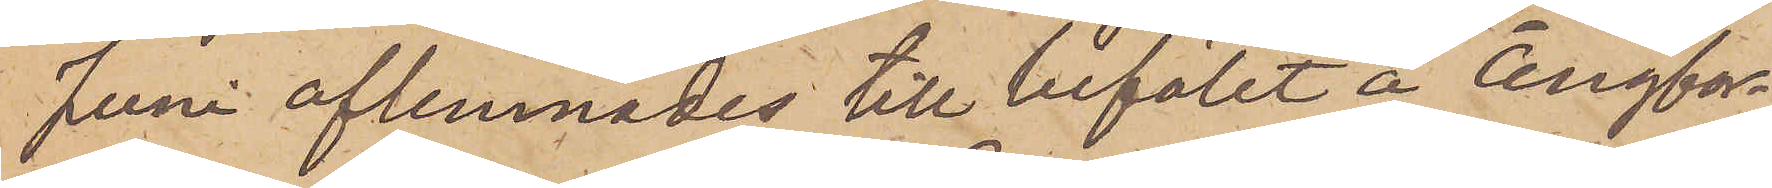Juni aflemnades till befälet å ångfar¬
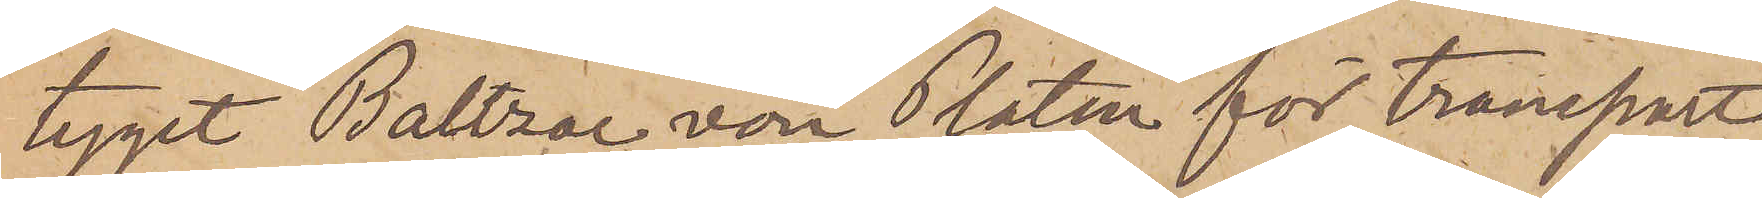tyget "Baltzar von Platen" för transport
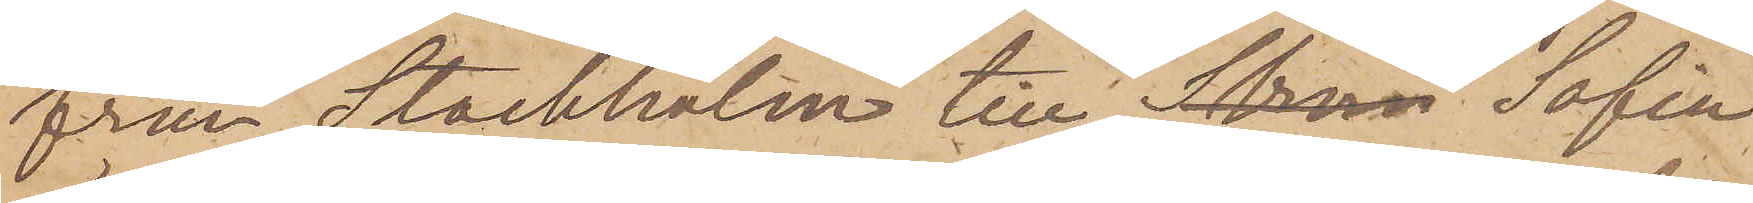från Stockholm till Strom Sofia
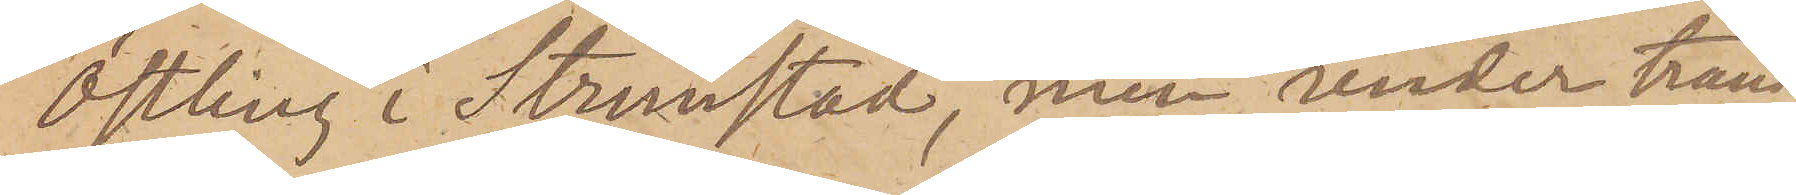Östling i Strömstad, men under trans¬
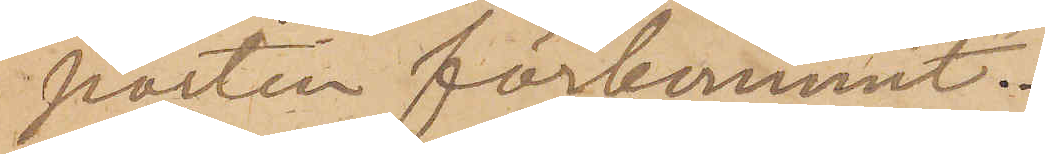porten förkommit.
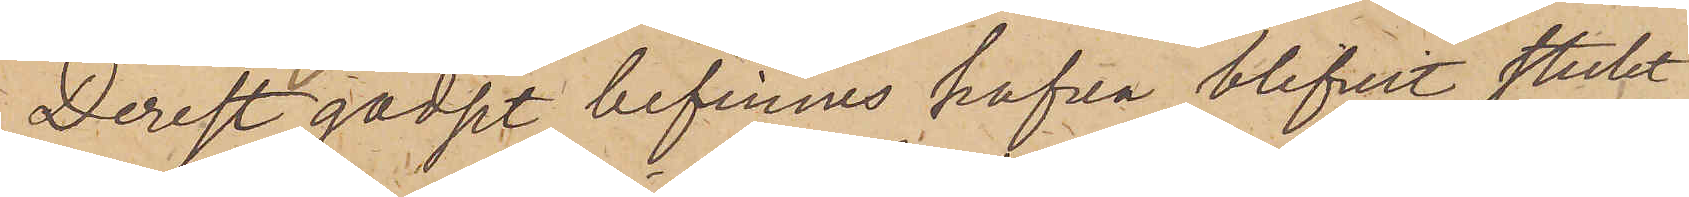Derest godset befinnes hafva blifvit stulet
